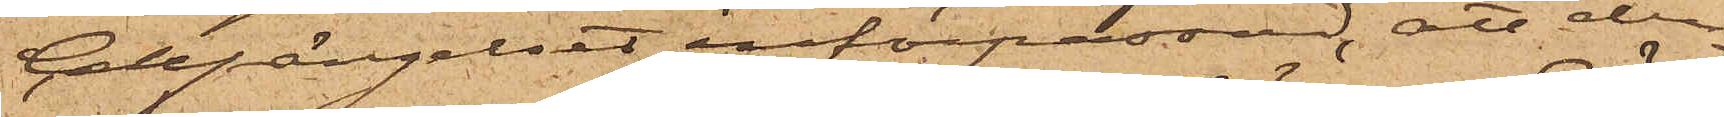Cellfängelset införpassad, att den¬
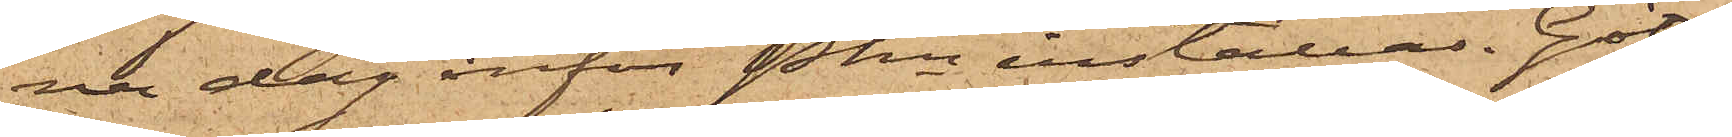na dag inför Pkn inställas. Göte¬
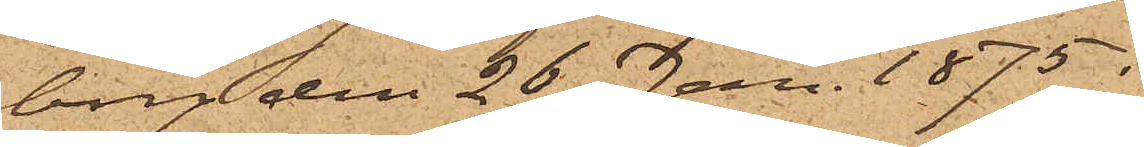borg den 26 Jan. 1875.
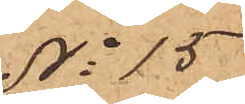No 15
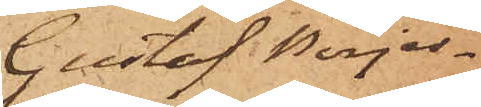Gustaf Börjes¬
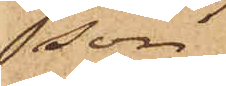son
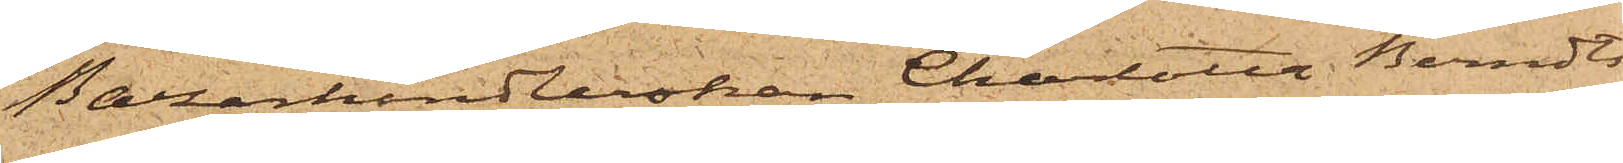Bazarhandlerskan Charlotta Berndts¬
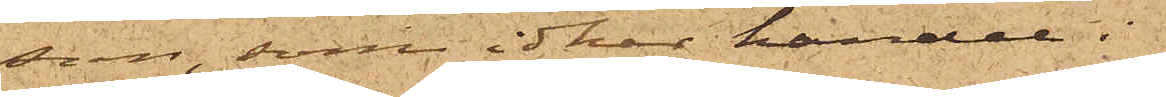son, som idkar handel i
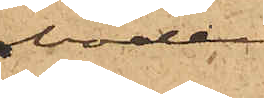boden
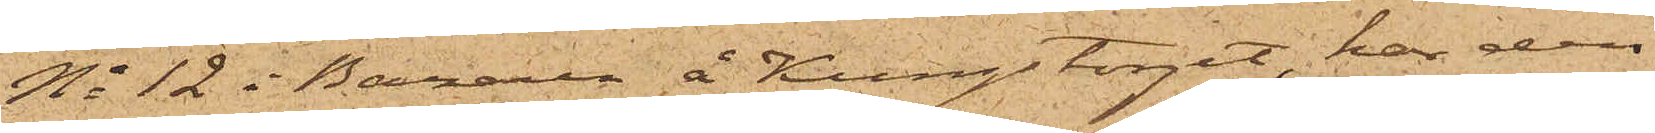No 12 i Bazaren å Kungstorget, har den
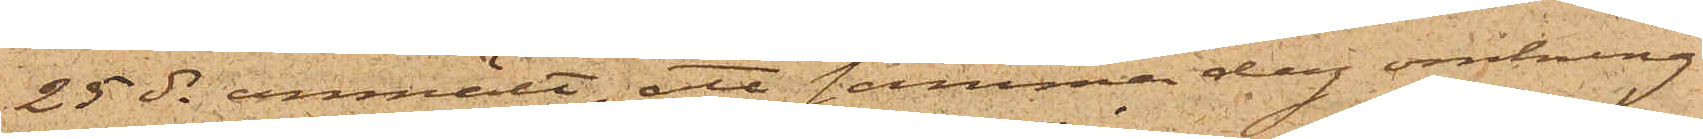25 ds anmält, att samma dag omkring
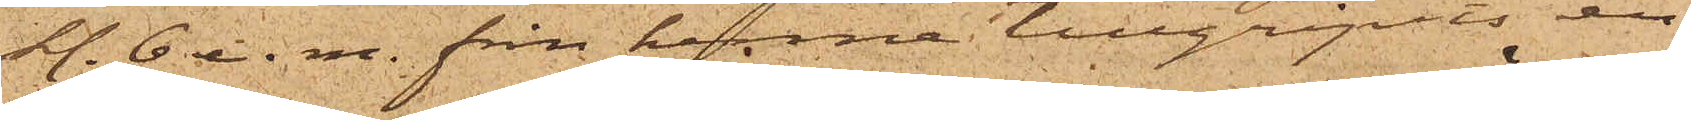kl. 6 e. m. från henne tillgripits en
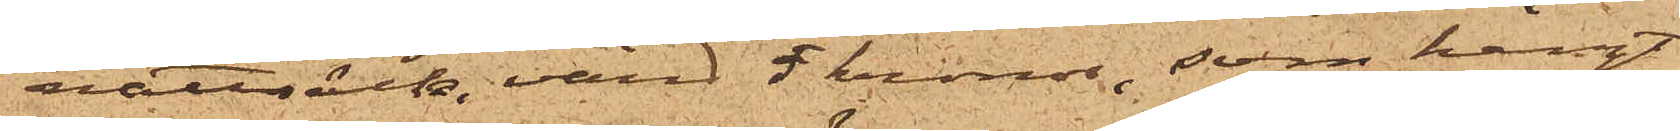nattsäck, värd 5 kronor, som hängt
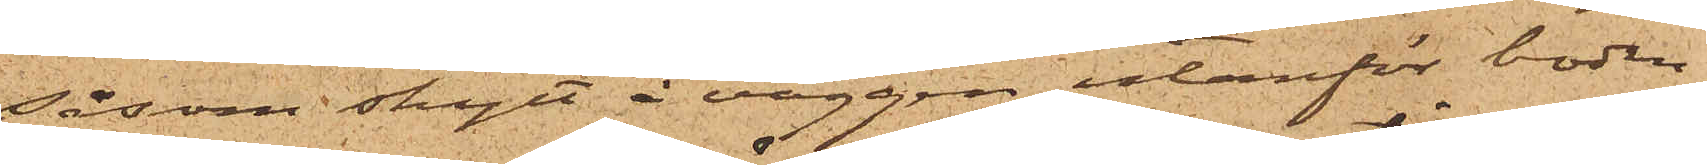såsom skylt å väggen utanför boden.
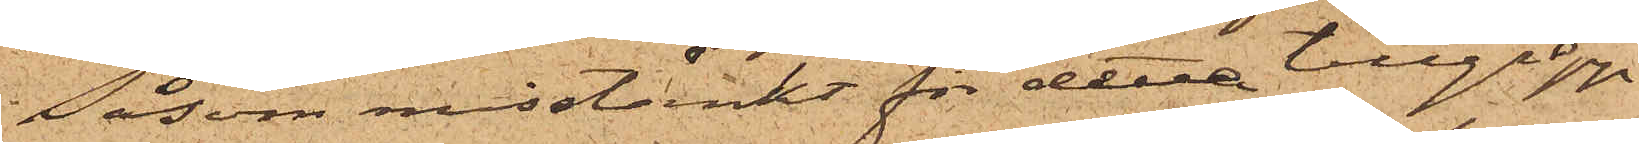Såsom misstänkt för detta tillgrepp
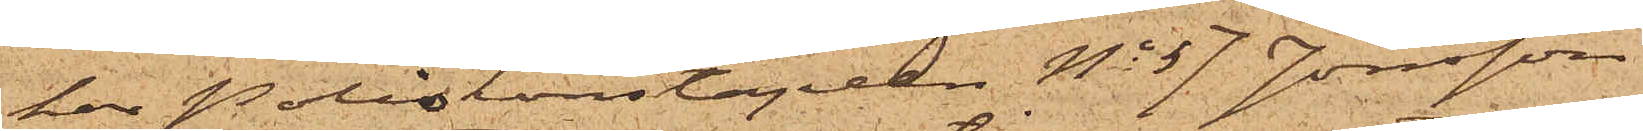har Poliskonstapeln No 57 Jonsson
